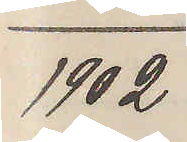1902
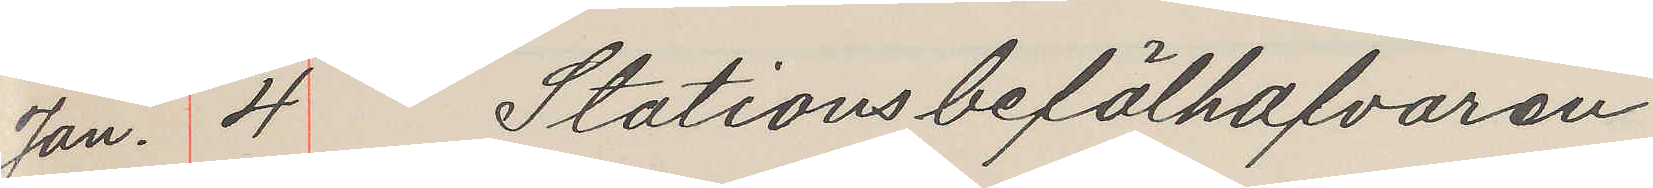Jan. 4. Stationsbefälhafvaren
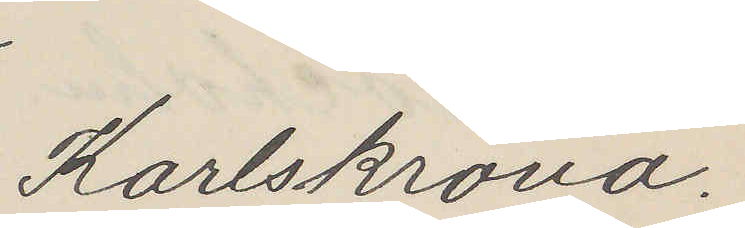Karlskrona.
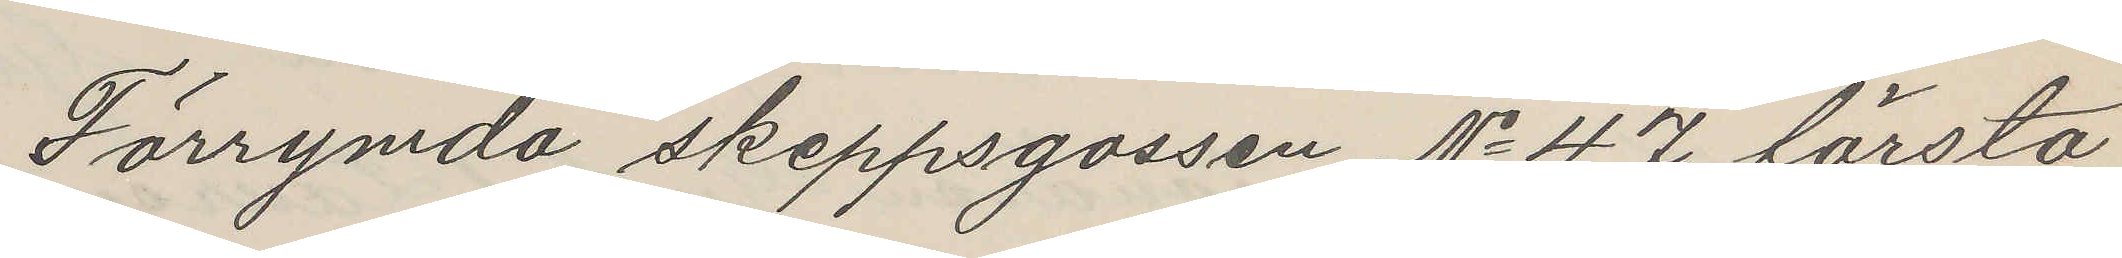Förrymda skeppsgossen No 47 första
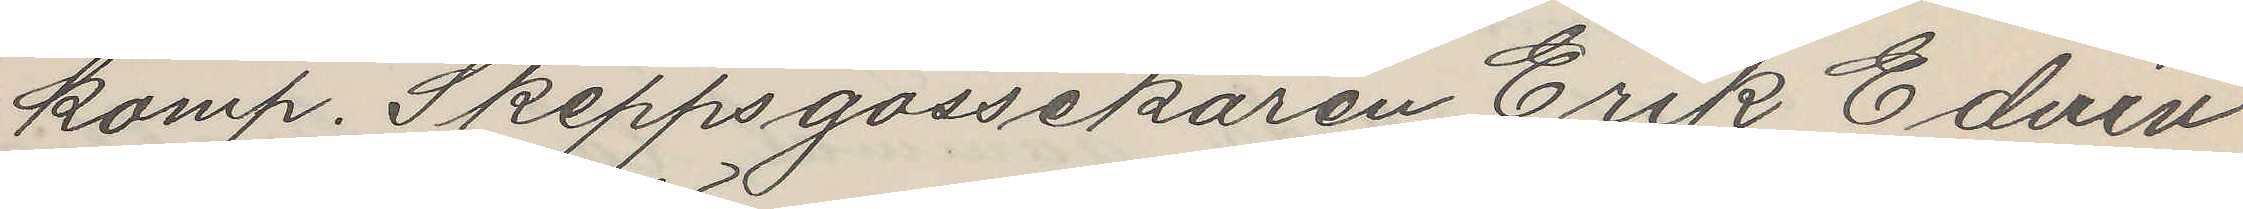komp. Skeppsgossekåren Erik Edvin
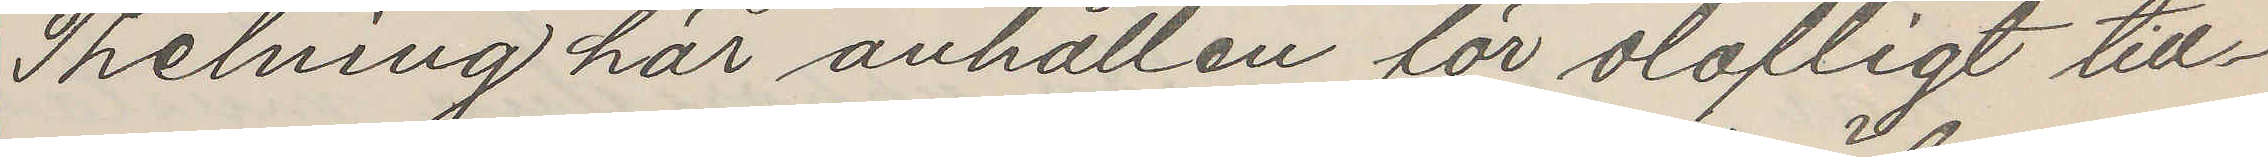Thelning här anhållen för olofligt till¬
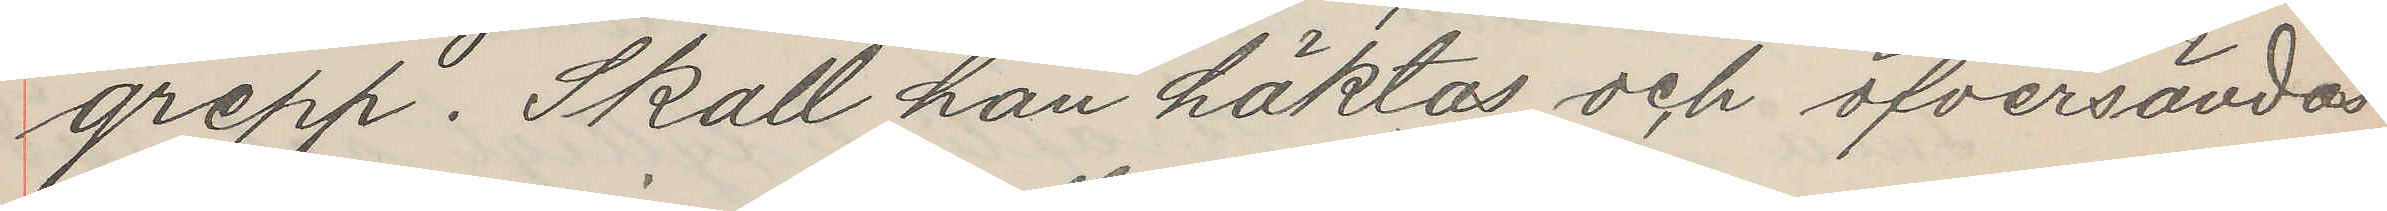grepp. Skall han häktas och öfversändas
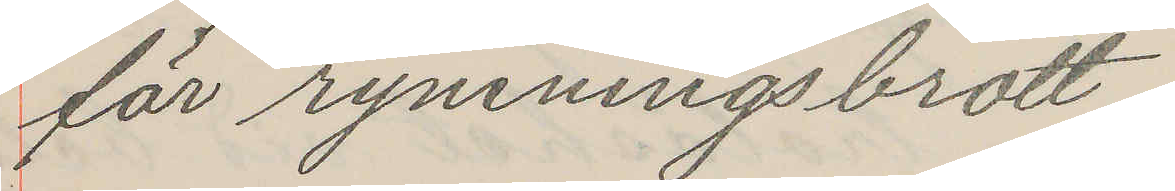för rymningsbrott.
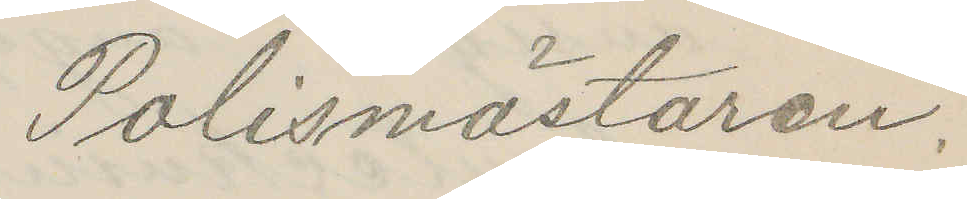Polismästaren.
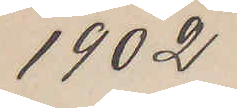1902
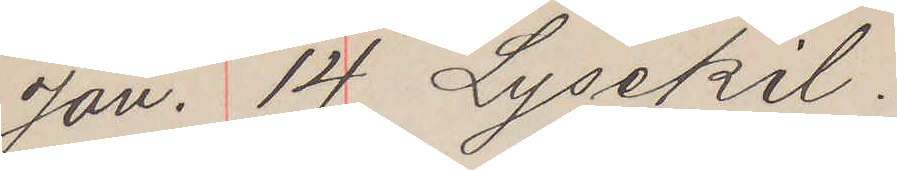Jan. 14 Lysekil.
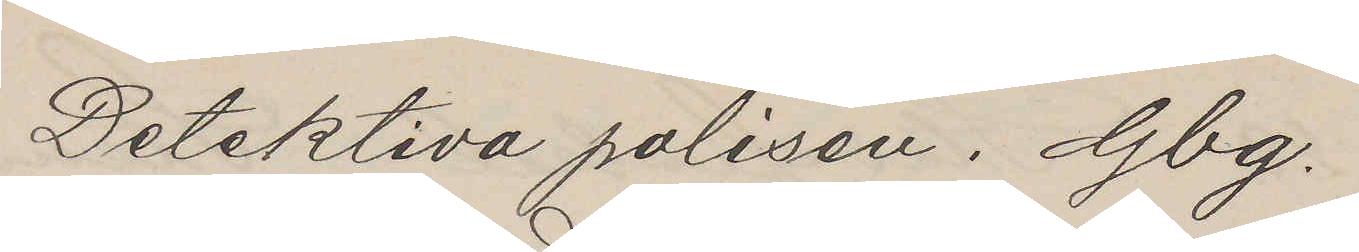Detektiva polisen. Gbg.
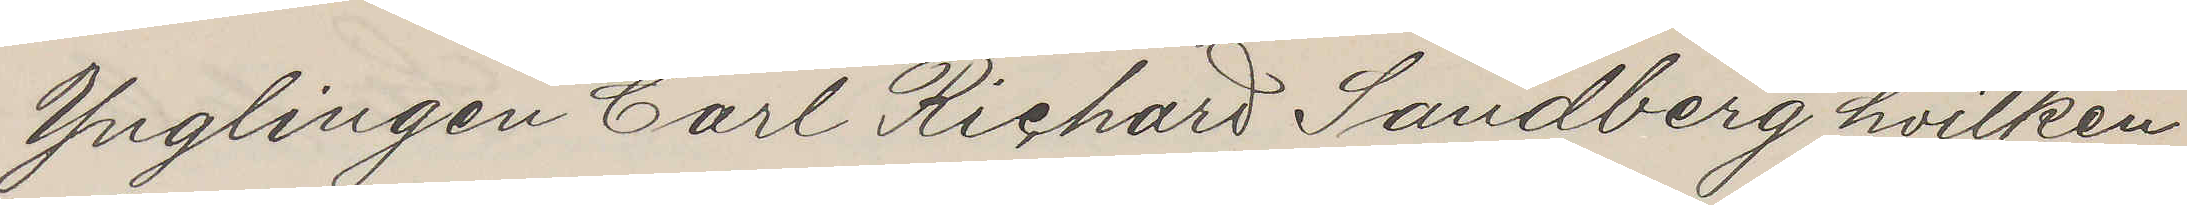Ynglingen Carl Richard Sandberg hvilken
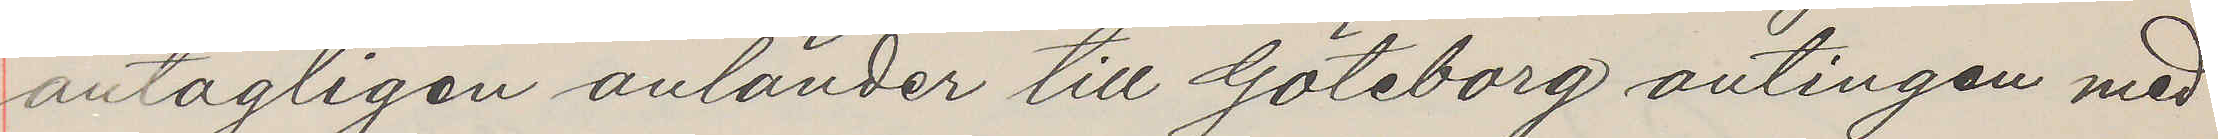antagligen anländer till Göteborg antingen med
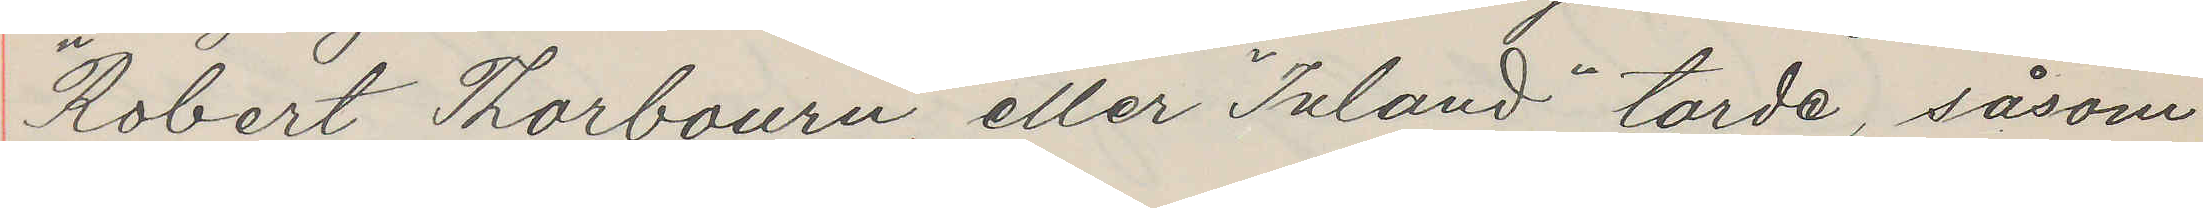"Robert Thorbourn", eller "Inland" torde, såsom
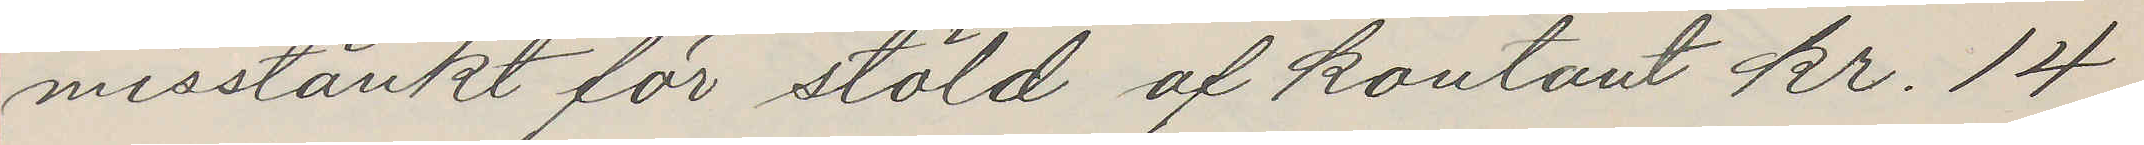misstänkt för stöld af kontant kr. 14
